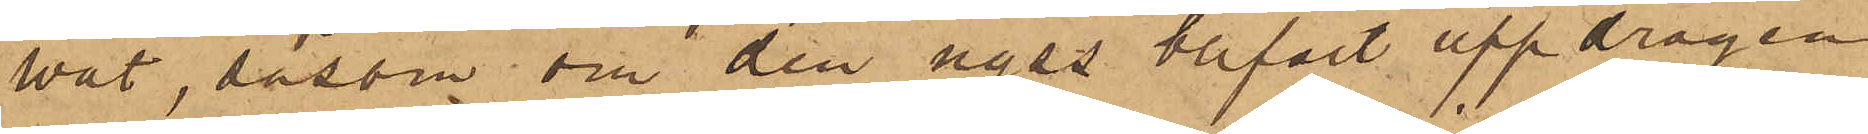wåt, såsom om den nyss blifvit uppdragen
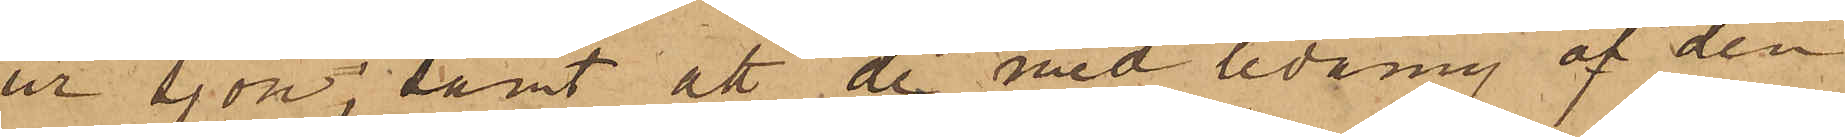ur sjön; samt att de med ledning af den
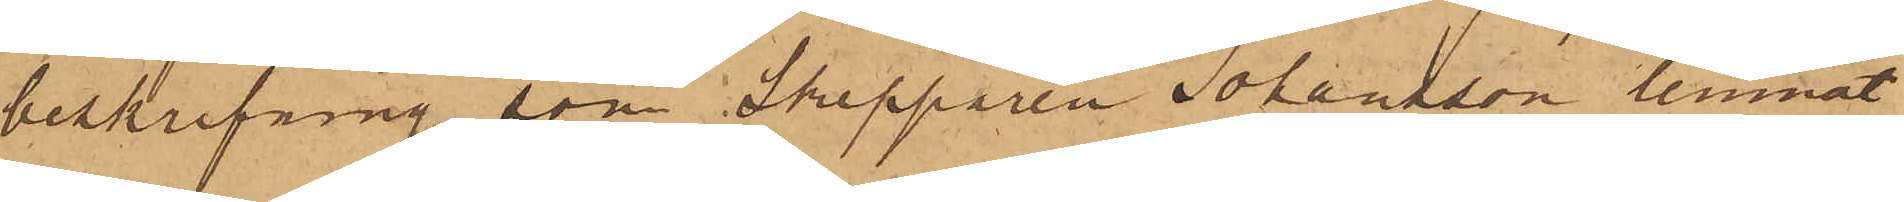beskrifning, som Skepparen Johansson lemnat
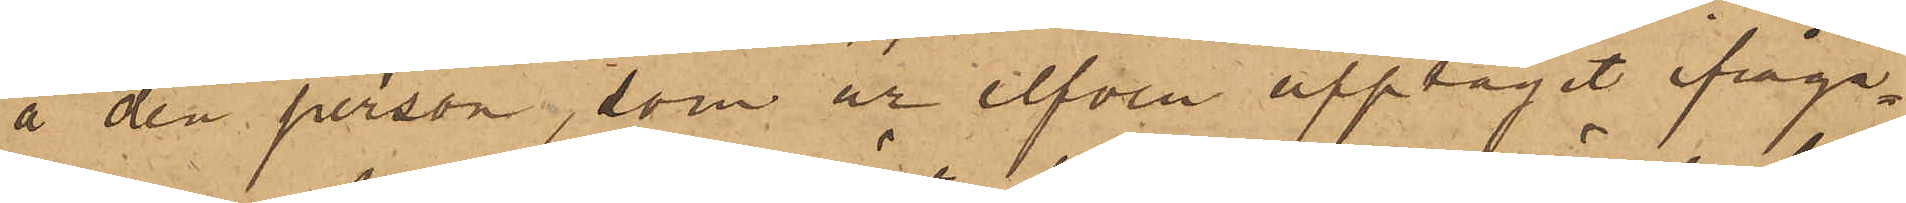å den person, som är elfven upptagit ifråga¬
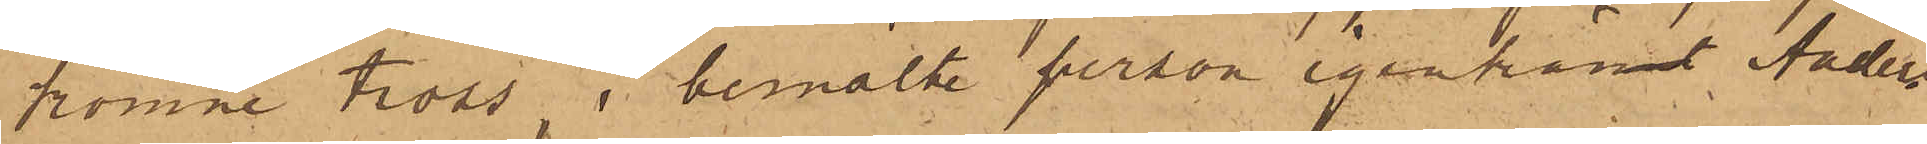komne tross, i bemälde person igenkänt Anders
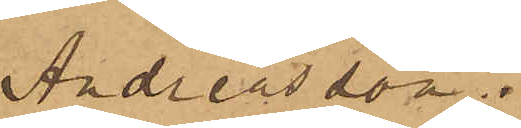Andreasson.
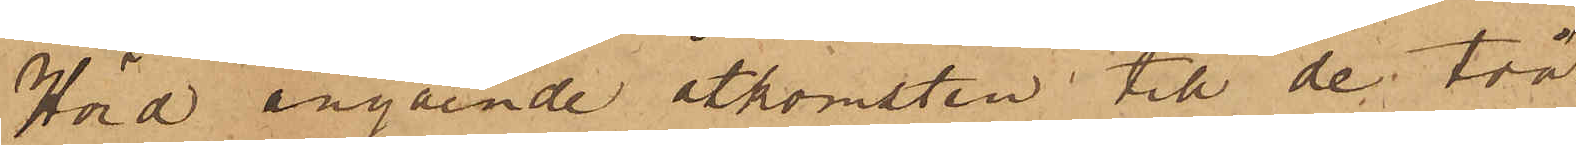Hörd angående åtkomsten till de två
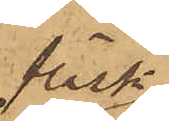fläsk¬
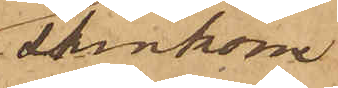skinkorne
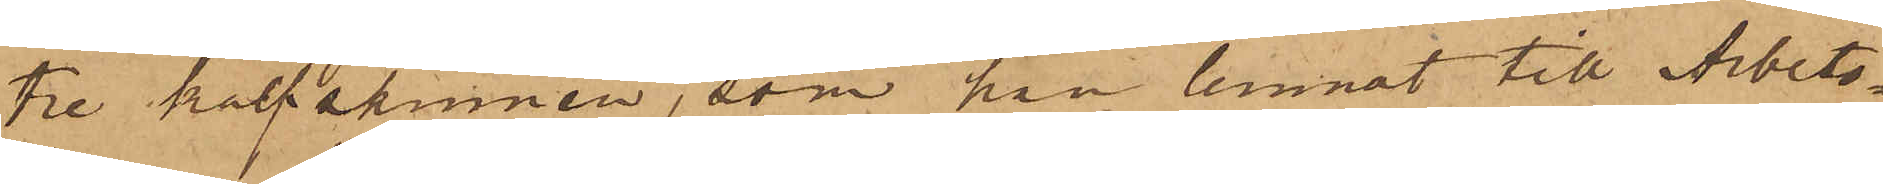tre kalfskinnen, som han lemnat till Arbets¬
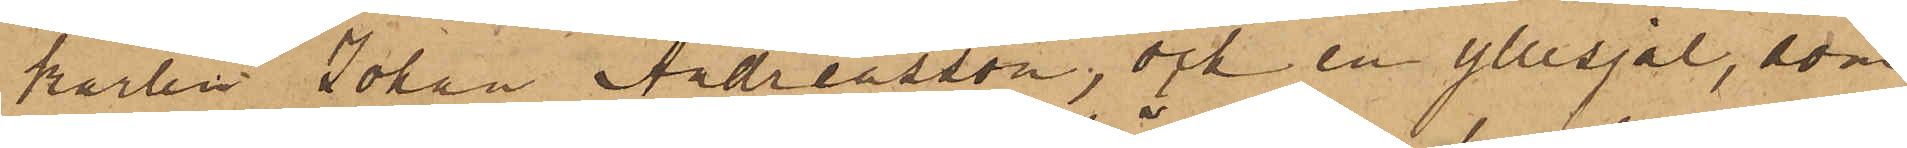karlen Johan Andreasson; och en yllesjal, som
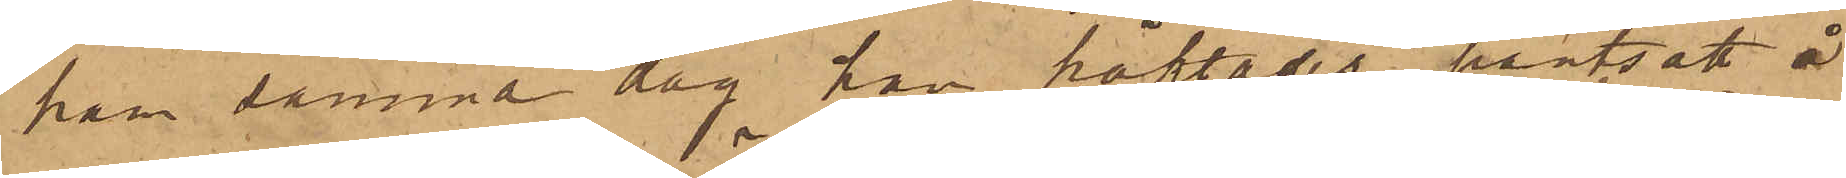han samma dag han häktades pantsatt å
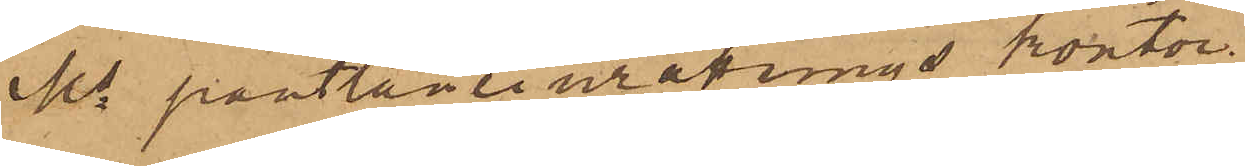Ms pantlåneinräknings kontor.
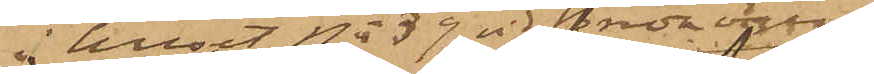i huset No 39 vid Breda vägen
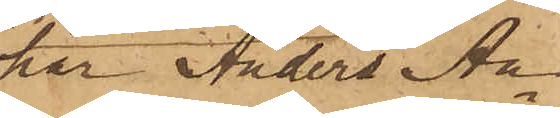har Anders An¬
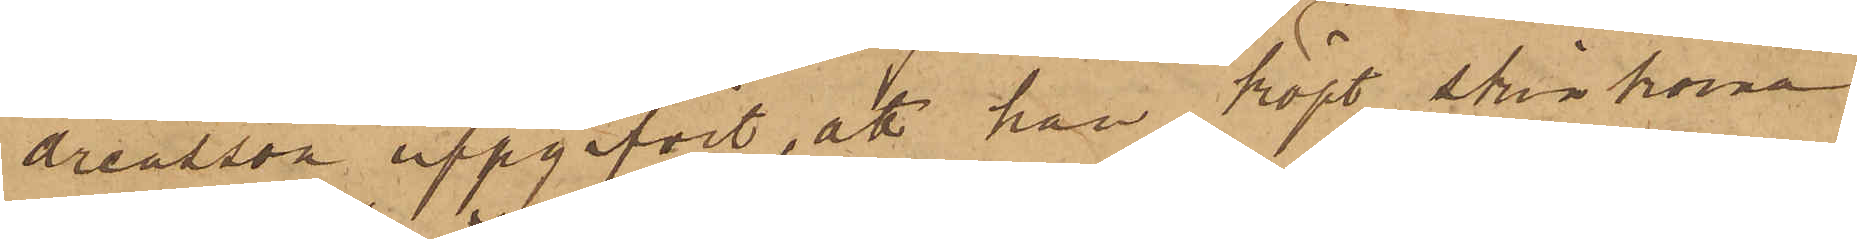dreasson uppgifvit, att han köpt skinkorna
